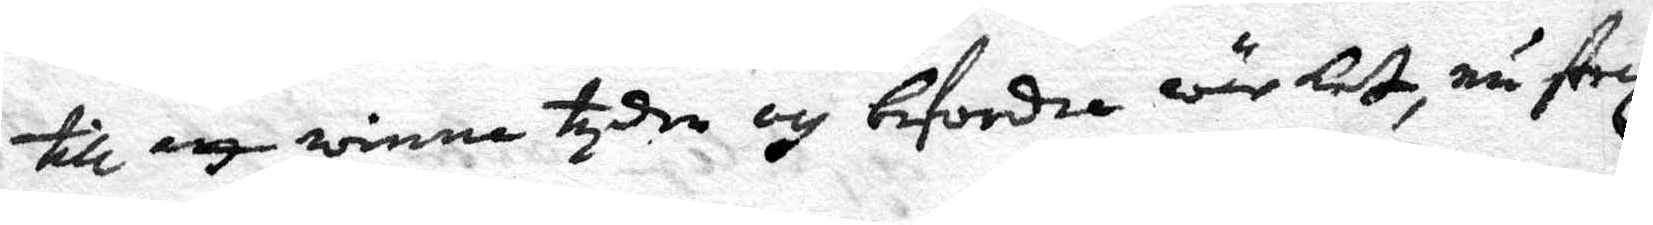till att winna tyden och befordra wärket, nu strax
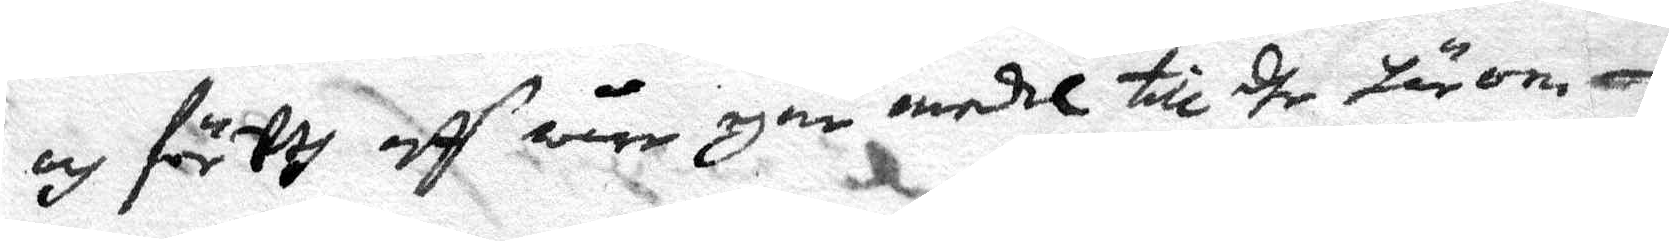och för Wj aff wåre egne medel till dhe härom¬
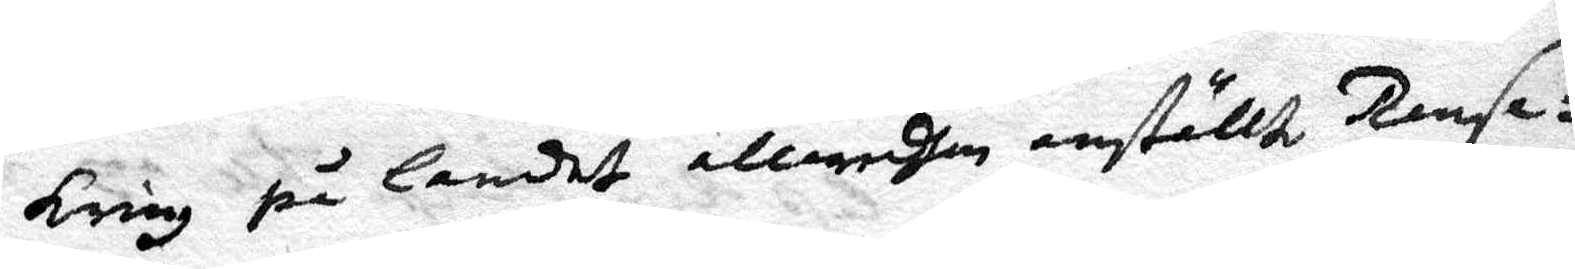kring på landet allaredhan anställd Ransa¬
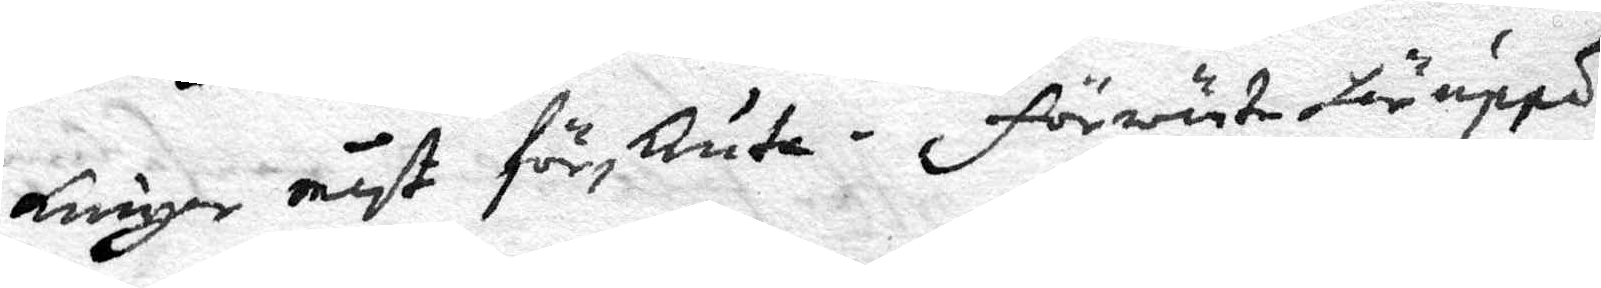kningar måst försKuta - förwänta här uppå
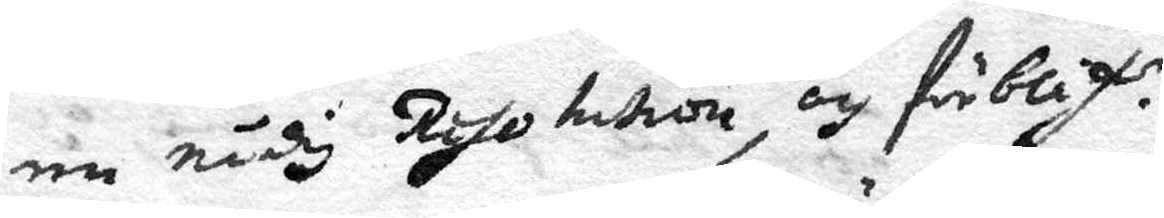en nådig Resolution, och förblif. er.
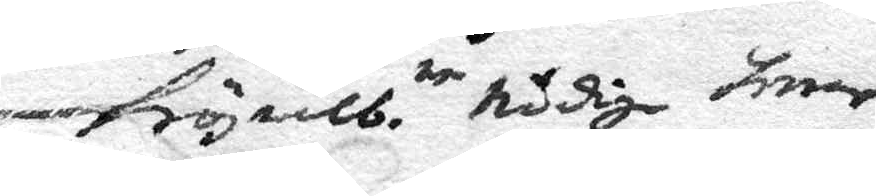Högwälb.ne nådige herrar
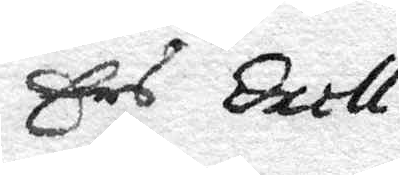Ers Exell tiers
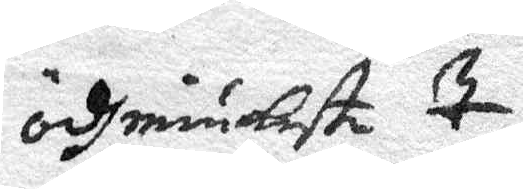ÖdmiuKaste T.
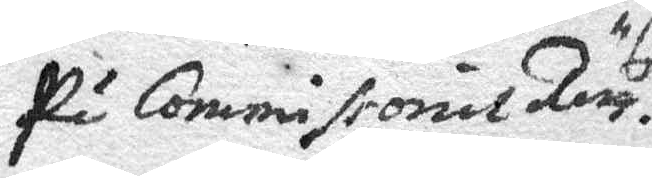På Commissonis Rätt. s
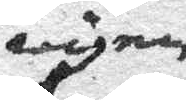wägnar
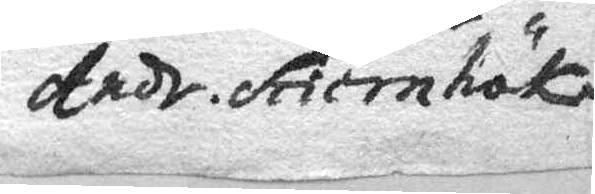Andr. StiernhöK
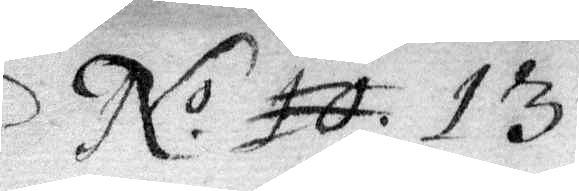No 10 13
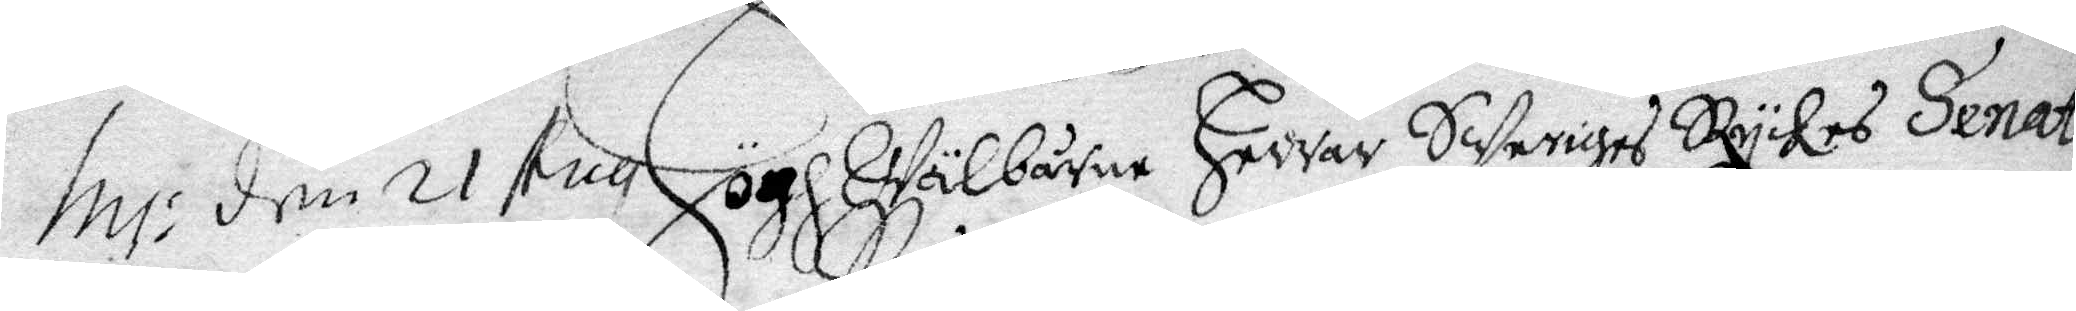In: den 21 Aug HöghWälbårne Herrar Sweriges Rykes Senat
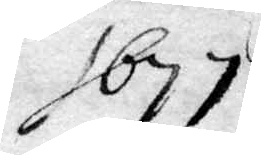1677
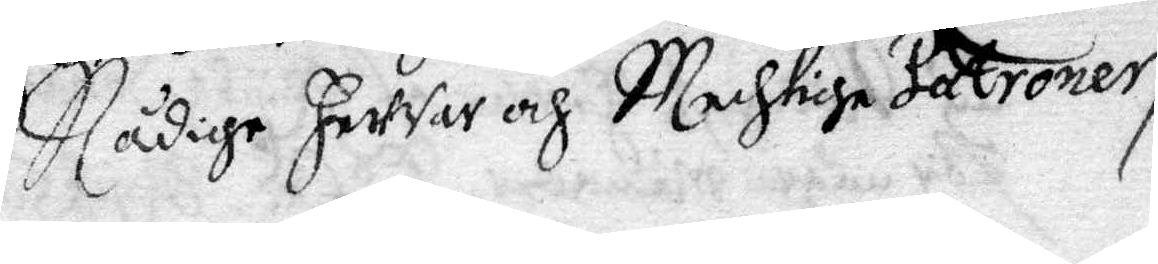Nådige Herrar och Mechtige Patroner,
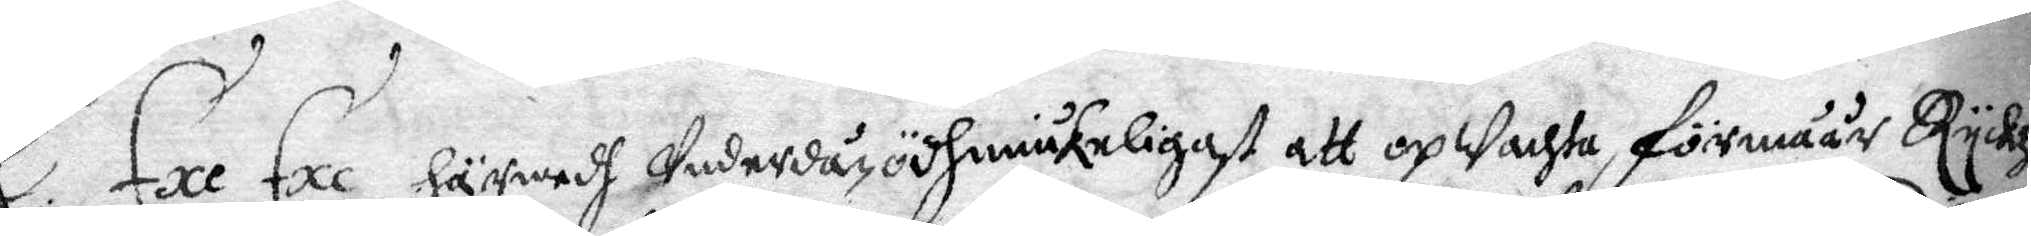E. Exe Exe Härwedh Underdån ödhmiukeligast att opWachta, förmåår Ryckz
